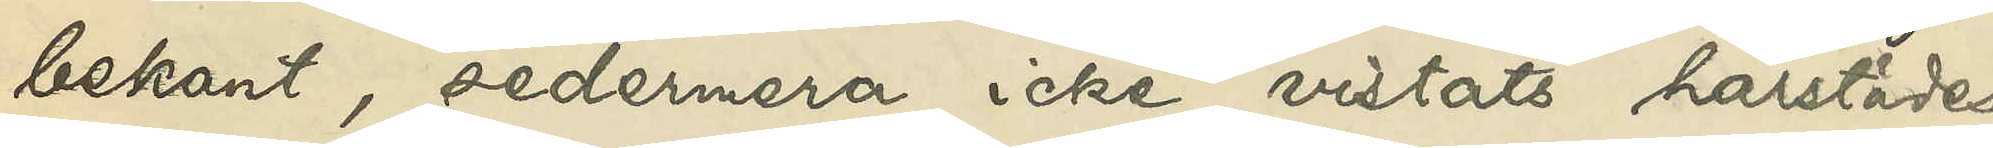bekant, sedermera icke vistats härstädes;
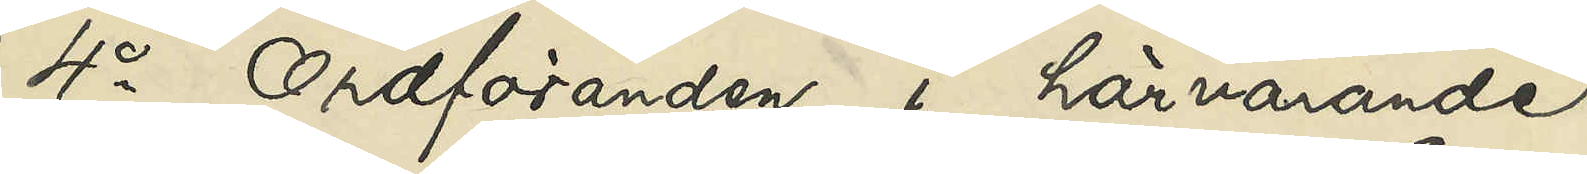4o Ordföranden i härvarande
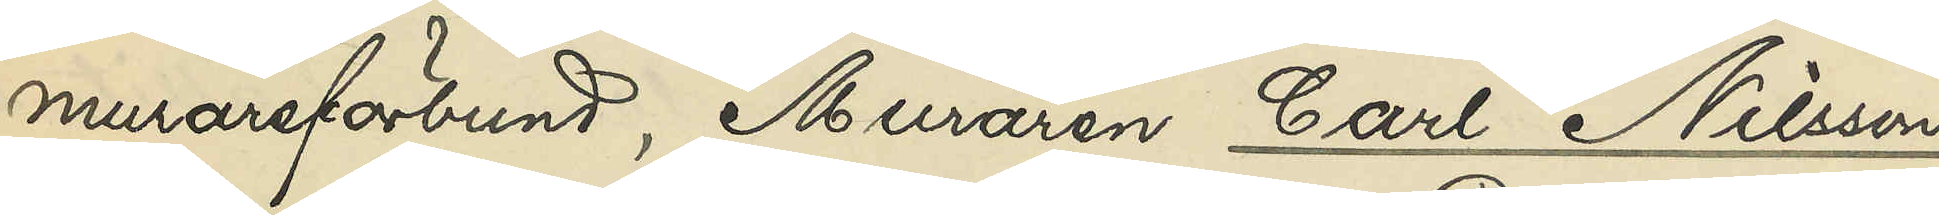murareförbundet, Muraren Carl Nilsson,
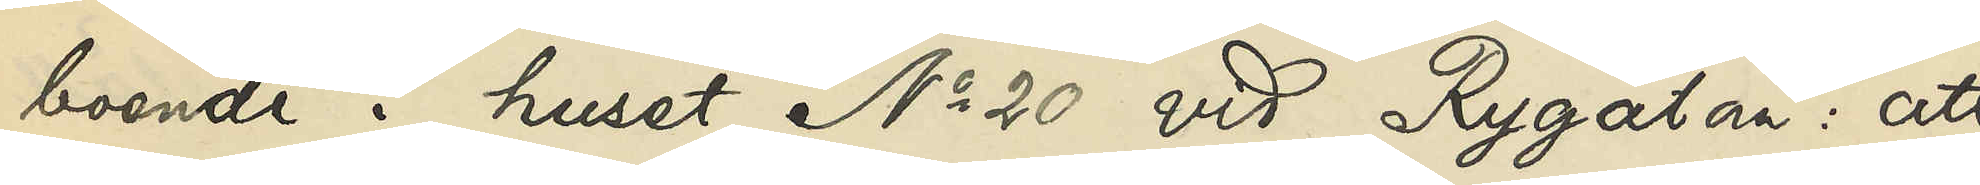boende i huset No 20 vid Rygatan: att
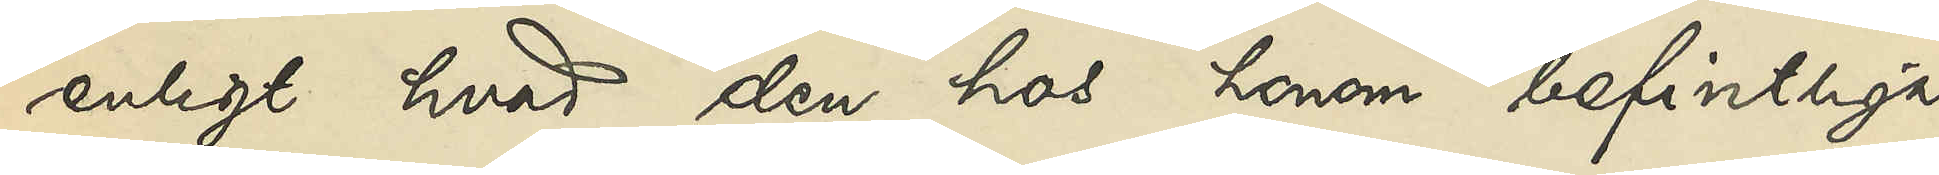enligt hvad den hos honom befintliga
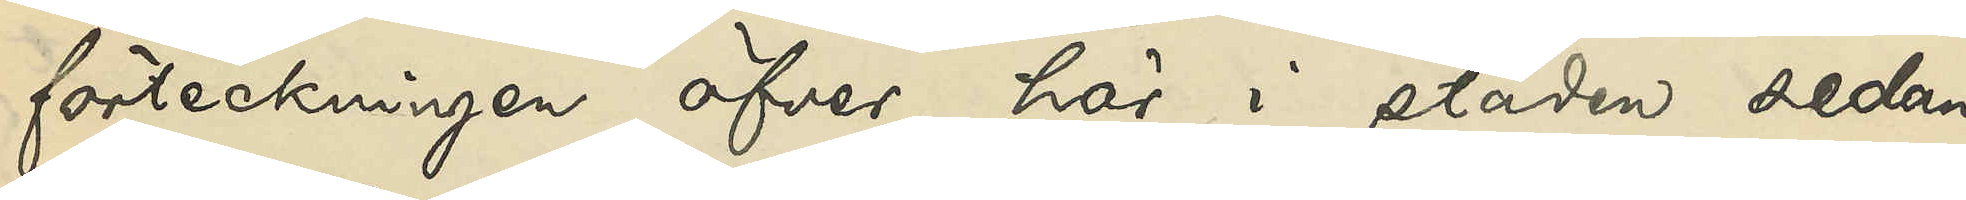förteckningen öfver här i staden sedan
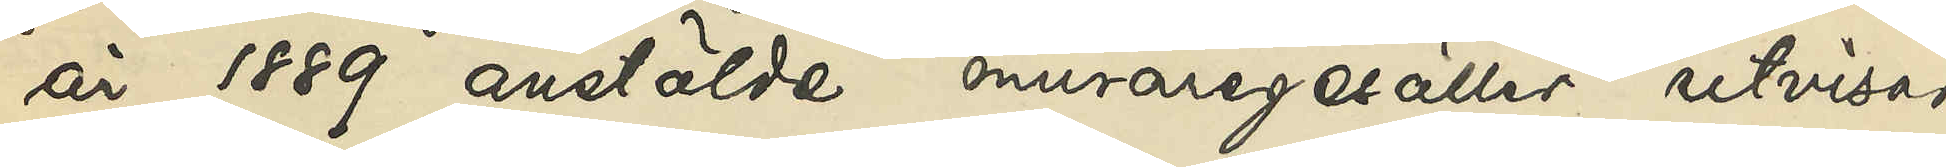år 1889 anstälde muraregesäller utvisar,
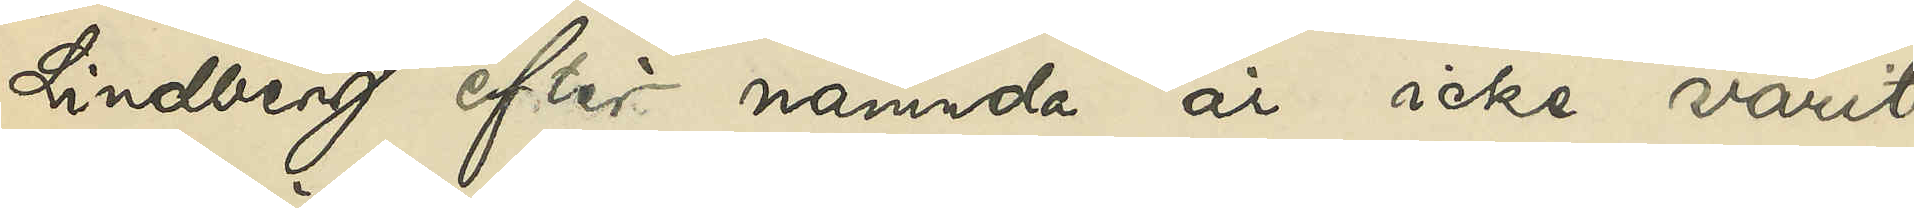Lindberg efter nämnda år icke varit
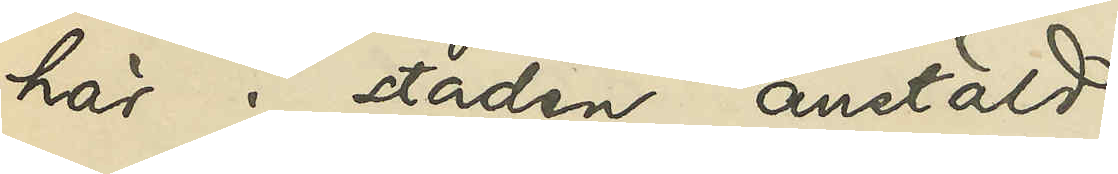här i staden anstäld.
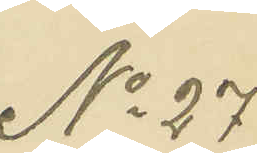No 27
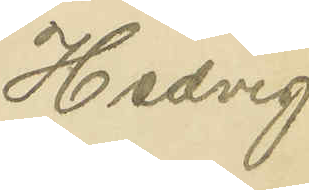Hedvig
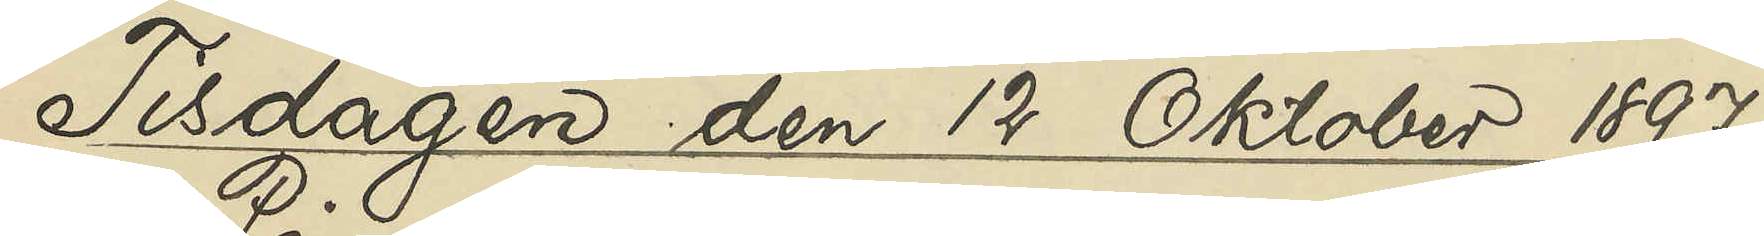Tisdagen den 12 Oktober 1897.
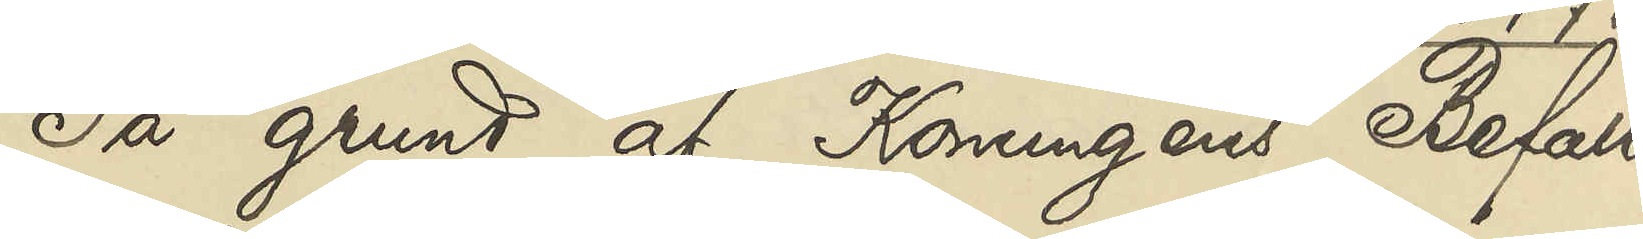På grund af Konungens Befall¬
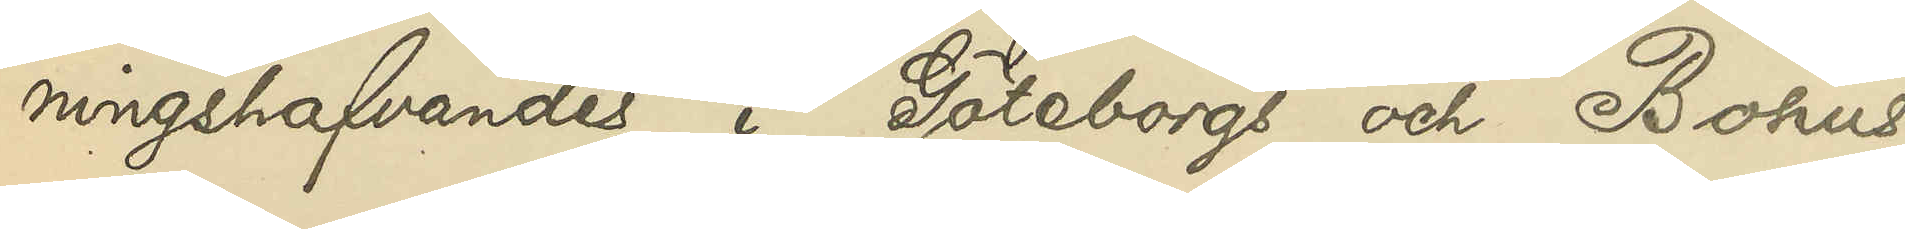ningshafvandes i Göteborgs och Bohus
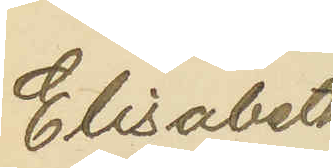Elisabeth
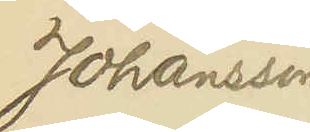Johansson
